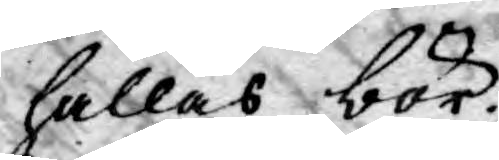hållas bör.
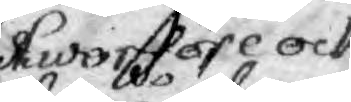Hworföre ock
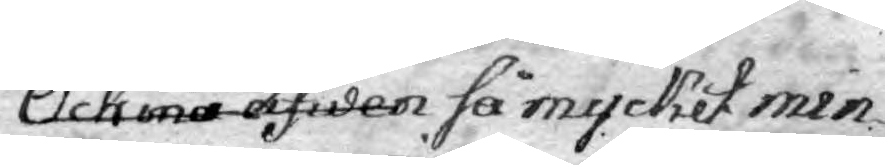Och må äfwen så mycket min¬
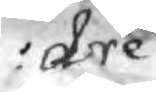dre
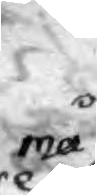må
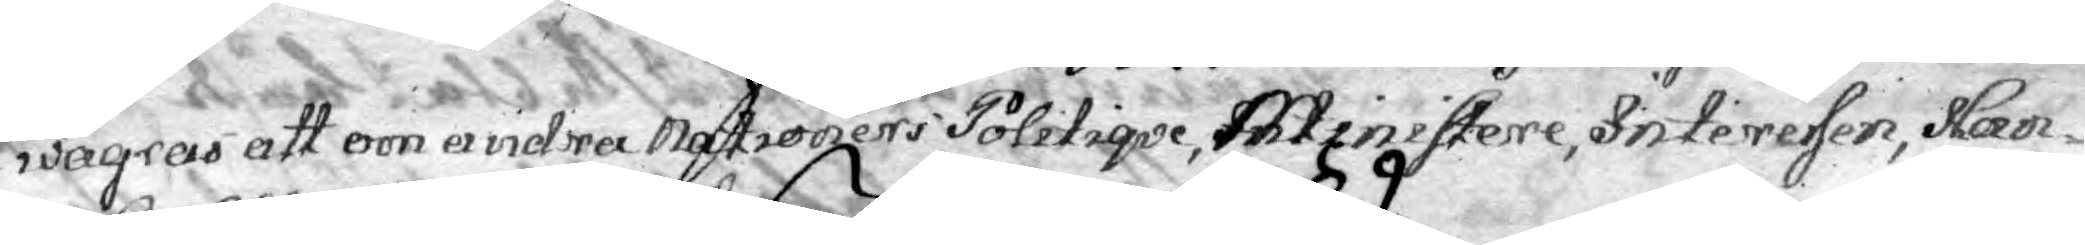wägras att om andra Nationers Politiqve, Ministere, Interesen, Han¬
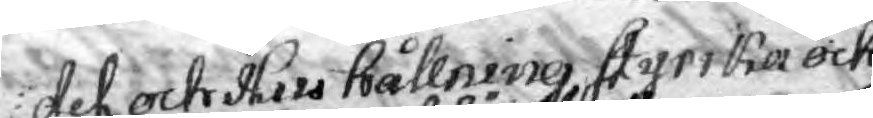del och Hus hållning, styrika och
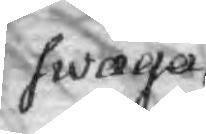swaga,
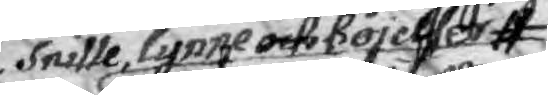Snille, lynne och böjelser
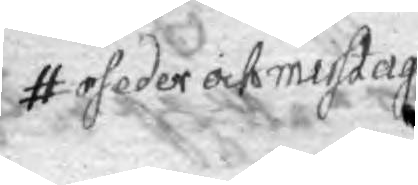oseder och mistag
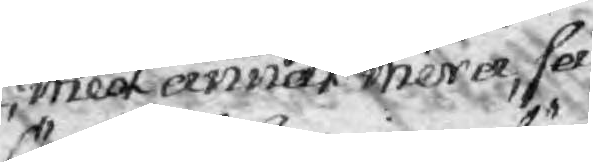med annat mera, så
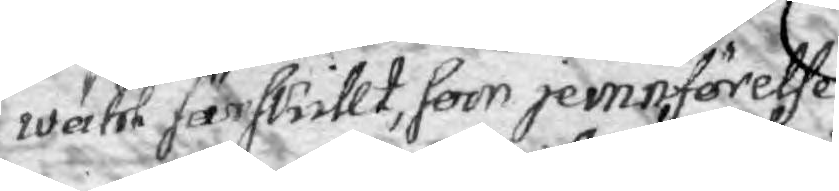wähl särskillt, som jemnförelse¬
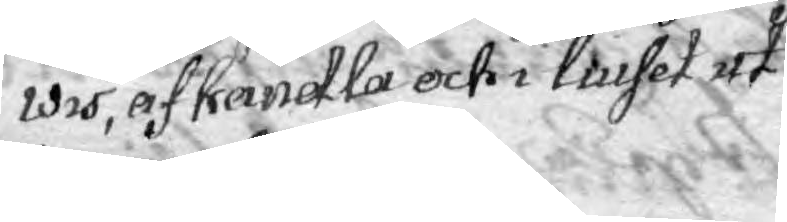wis, afhandla och i liuset ut¬
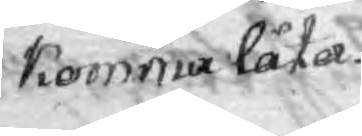komma låta.
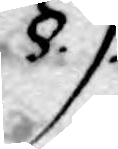§.9.
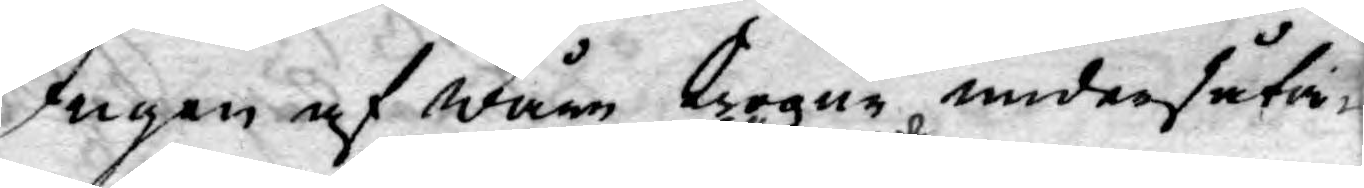Ingen af wåre trogne undersåta¬
